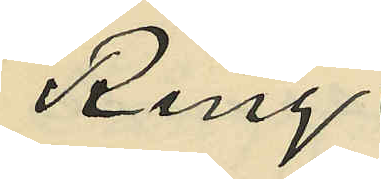Ring
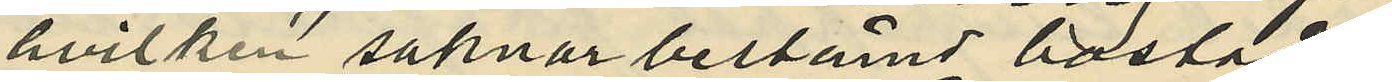hvilken saknar bestämd bostad;
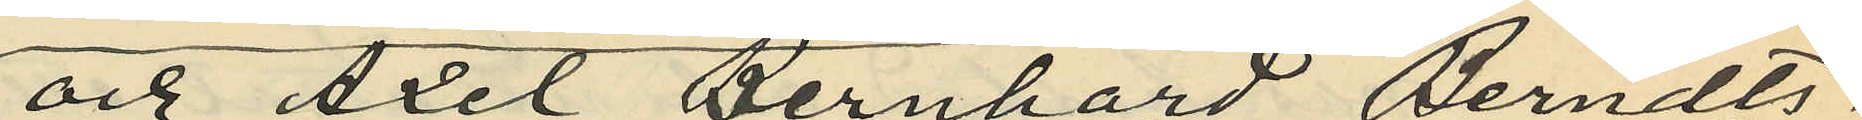och Axel Bernhard Berndts¬
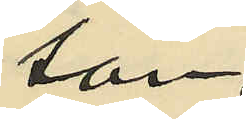son
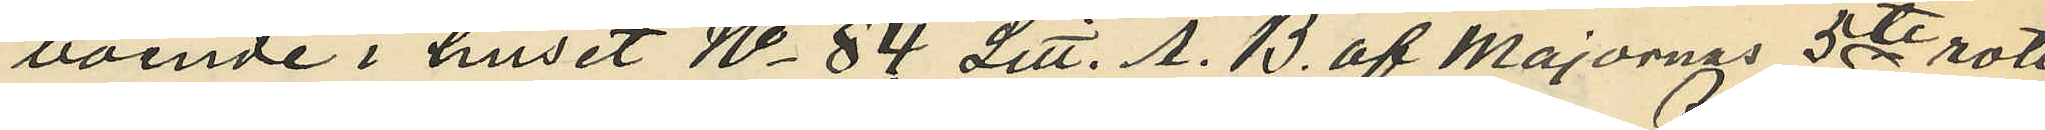boende i huset No 84 Litt. A. B. af Majornas 5de rote
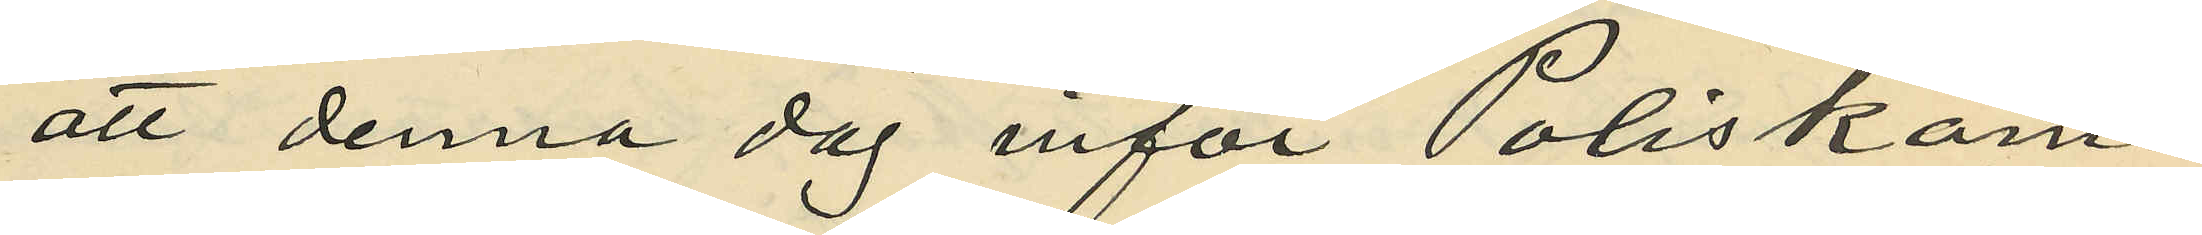att denna dag inför Poliskam¬
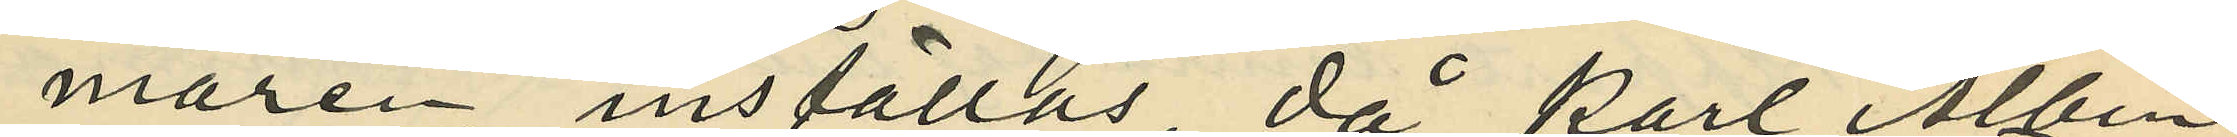maren inställas, då Karl Albin
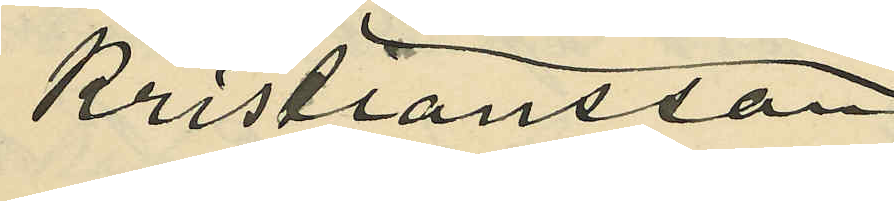Kristiansson,
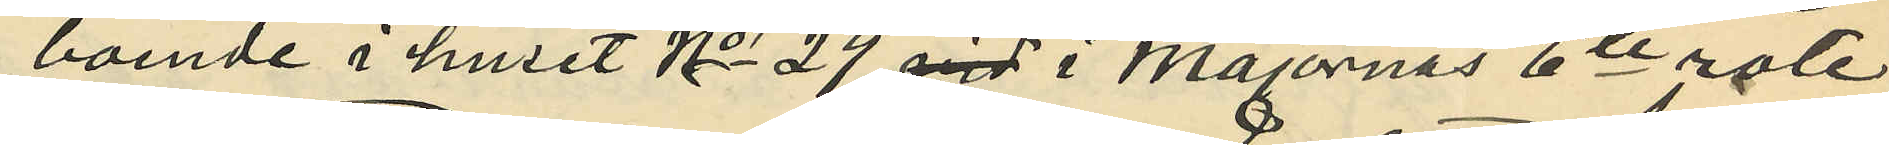boende i huset No 29 vid i Majornas 6te rote
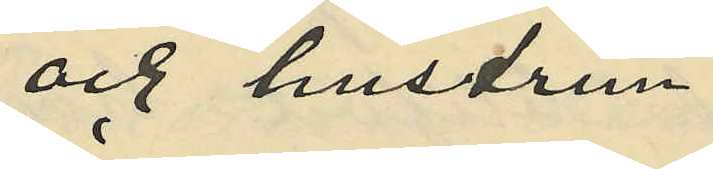och hustrun
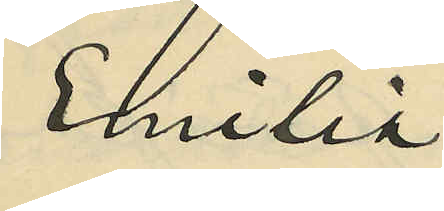Emilia
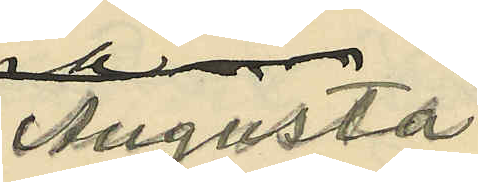Augusta
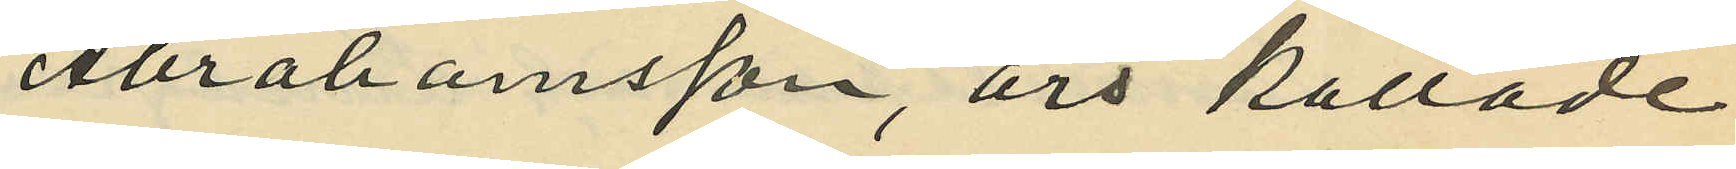Abrahamsson, äro kallade
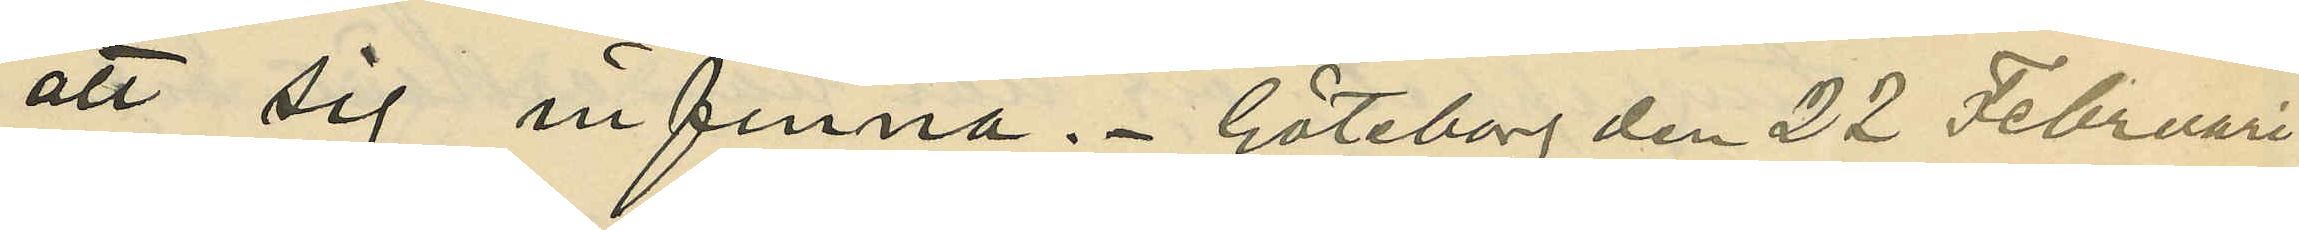att sig infinna. Göteborg den 22 Februari
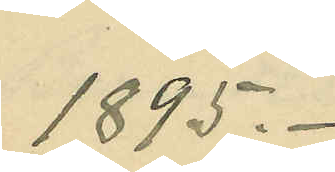1895.
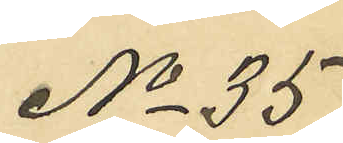No 35
